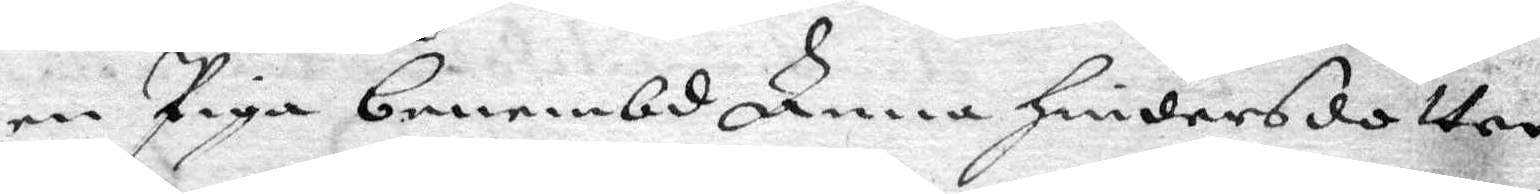en Piga benembd Anna Hindersdotter
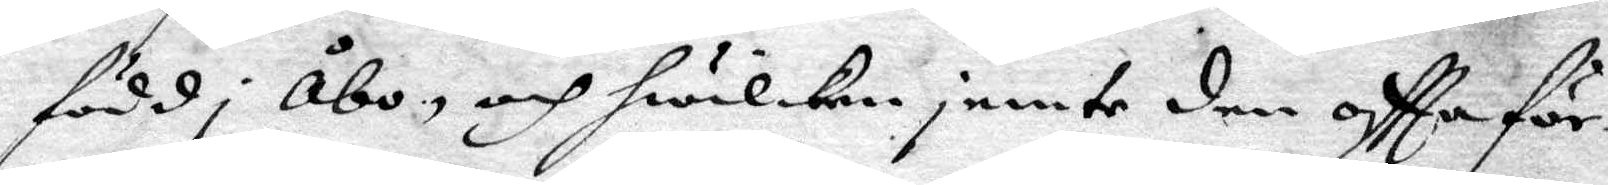född i Åbo och hwilken jemte den oftta för¬
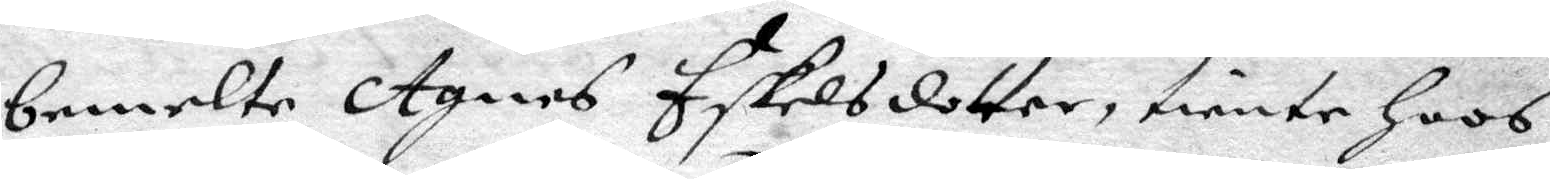bemelte Agnes Eskelsdotter, tiente hoos
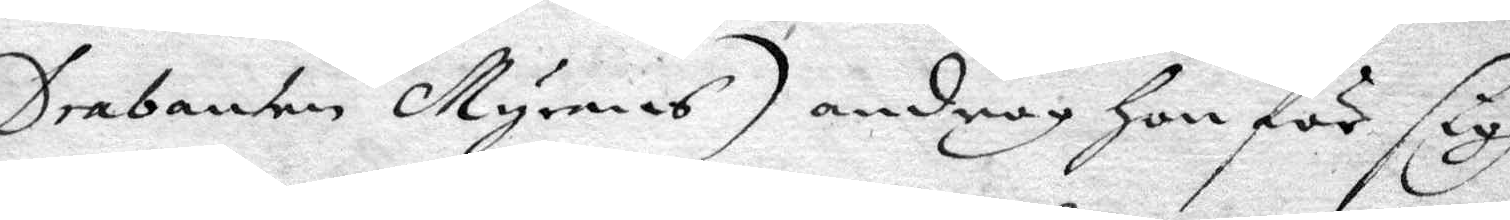Drabanten Myrmans) androg hon för sigh
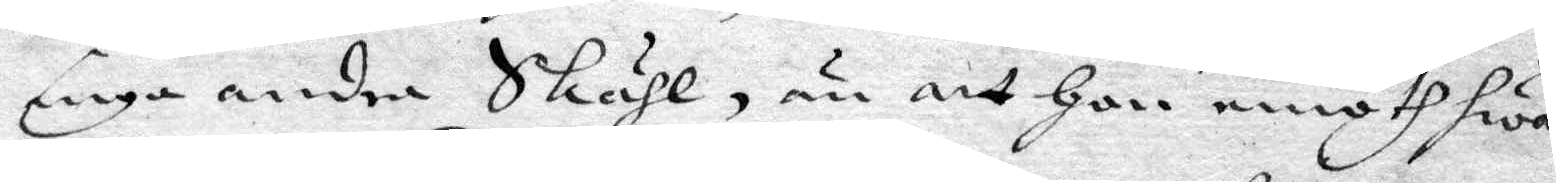inga andra Skähl, än att hon emoth hwar
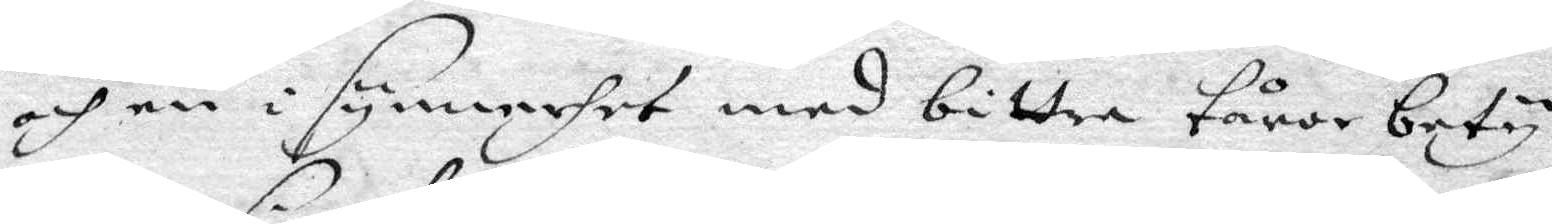och en i synnerhet med bittra tårar bety¬
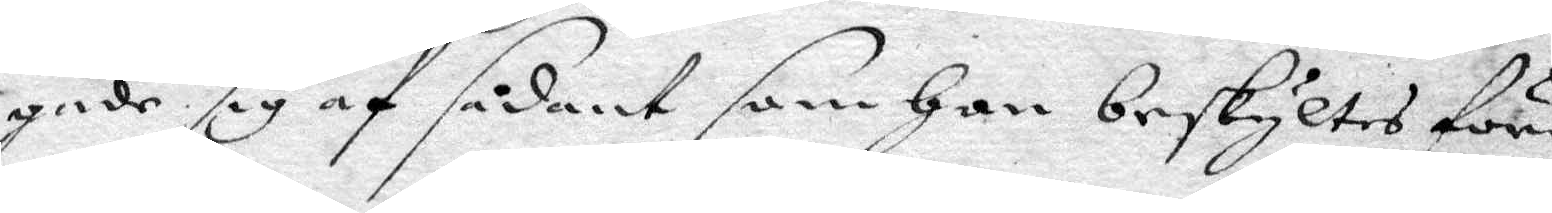gade sig af sådant som hon beskyltes före,
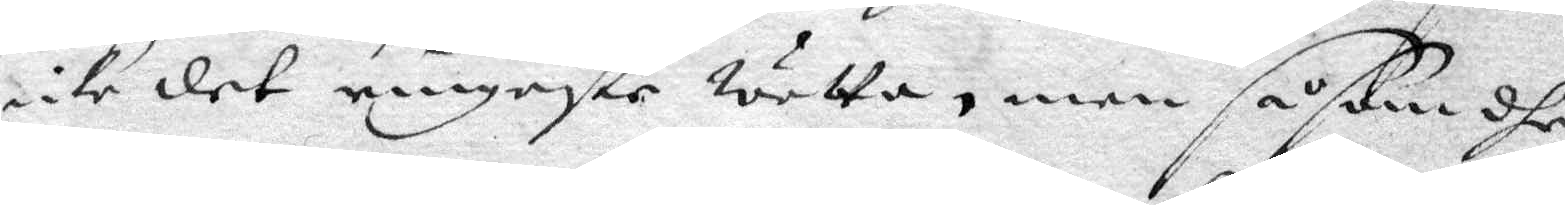icke det ringaste wetta, men såsom dhe
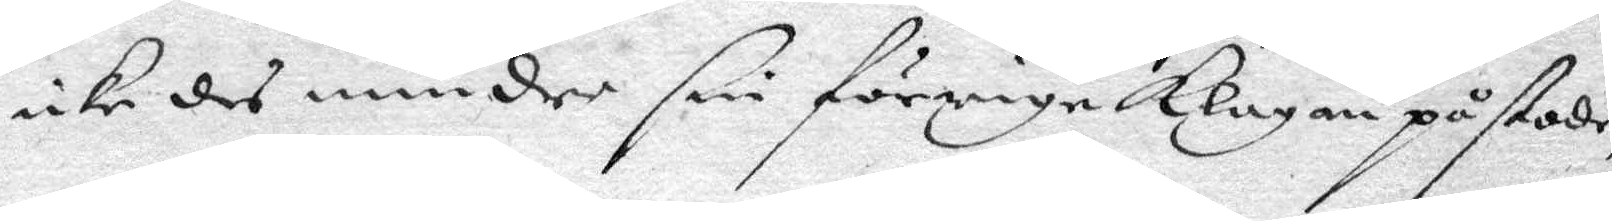icke des mindre sin förriga klagan påstode,
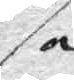så
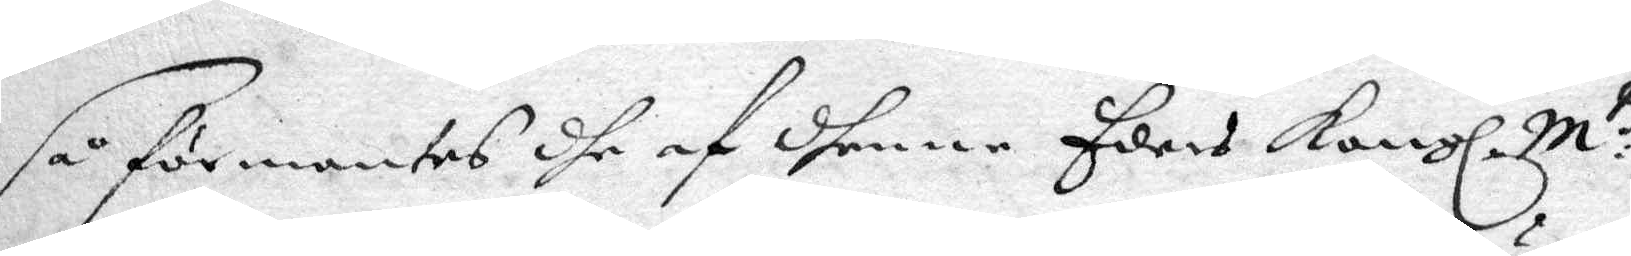så förmantes dhe af dnenne Eders Kongl. M:tz
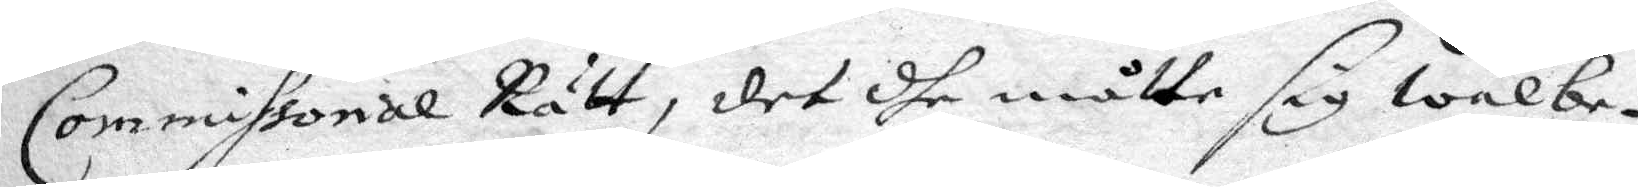Commissorial Rätt, det dhe måtte sig wälbe¬
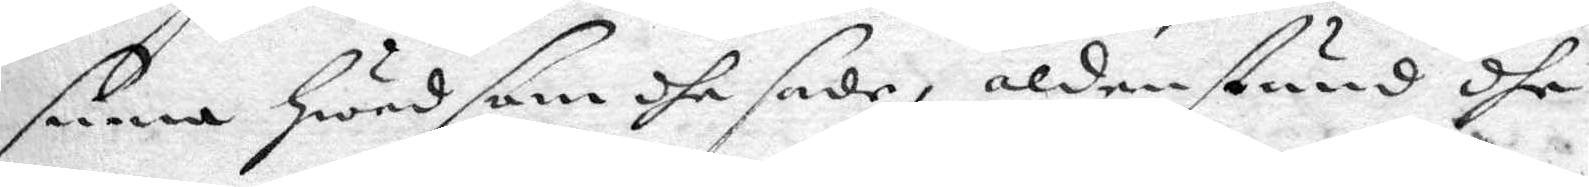sinna hwad som dhe sade, alden stund dhe
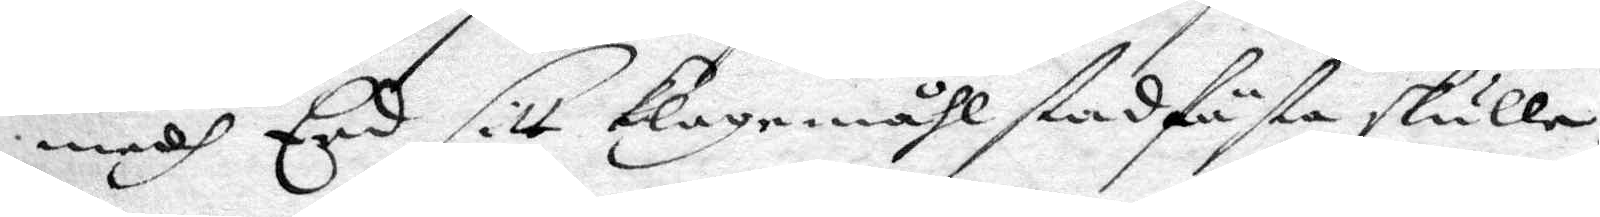medh Eed sitt klagomåhl stadfästa skulle.
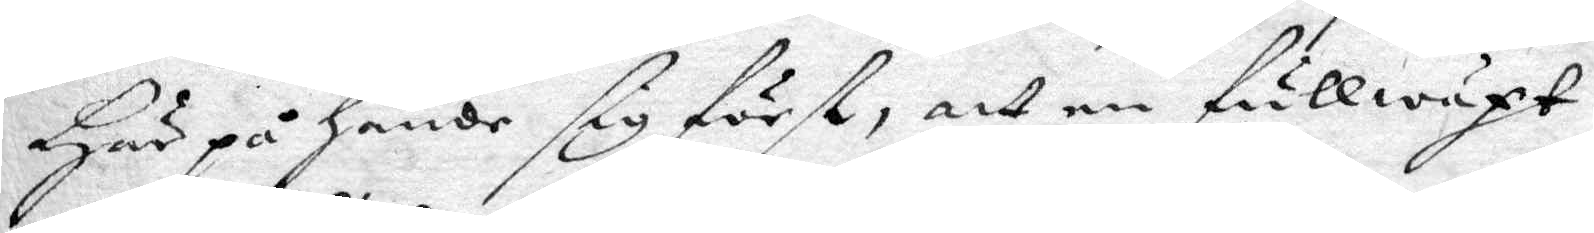Här på hände sig först, att en fullwäxt
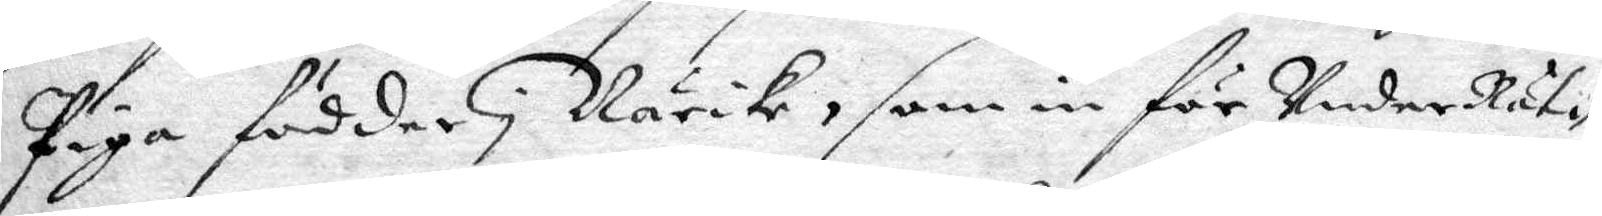Piga födder i Närike, som är in för UnderRät¬
